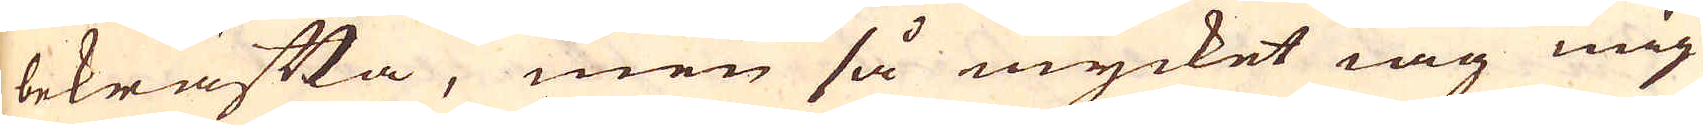bekräfta, men så mycket iag mig
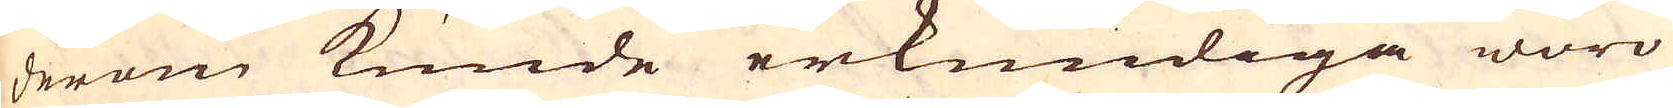derom kunde erkundiga woro
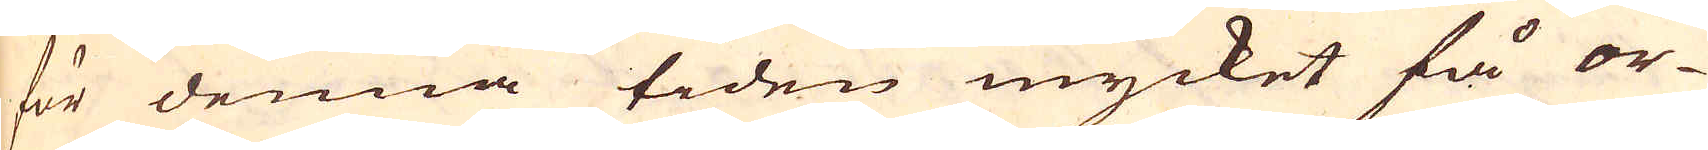för denna tiden mycket få or-
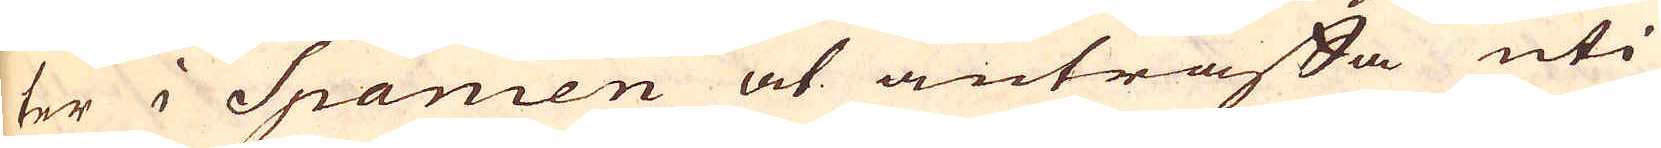ter i Spanien at anträffa uti
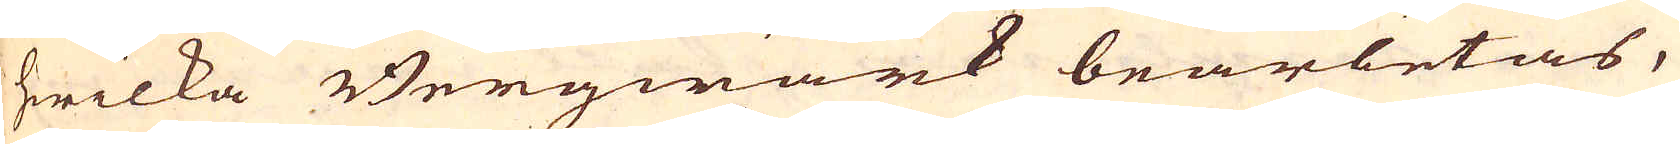hwilka Bergwärk bearbetas,
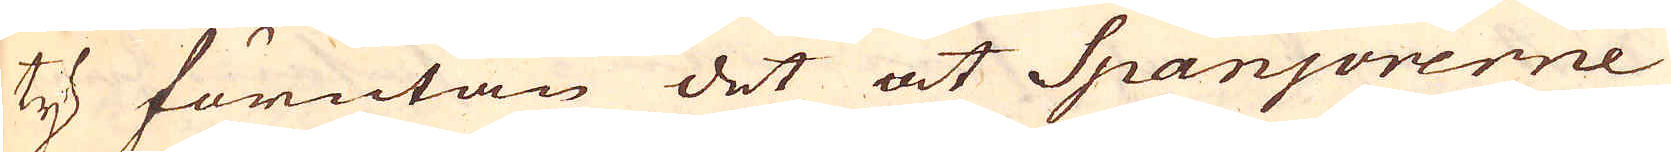ty förutan det at Spanjorerne
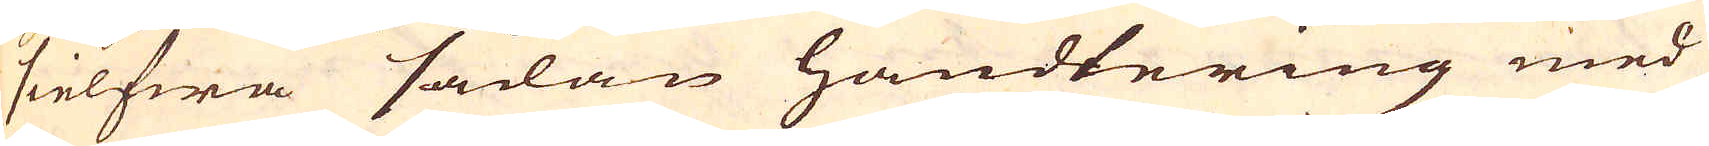sielfwa sådan handtering med
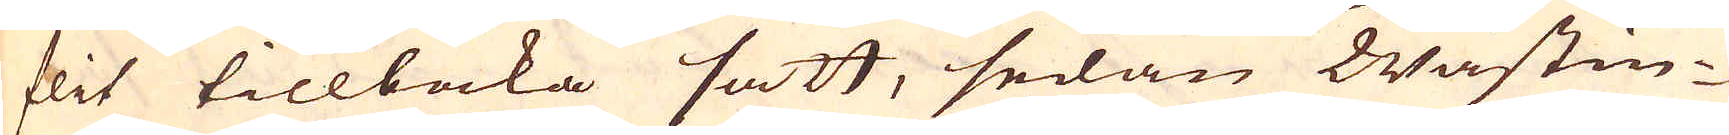flit tillbaka sätt, sedan Wästin-
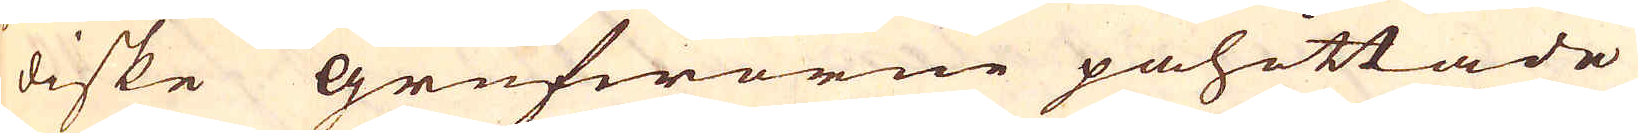diske grufworne påhittade
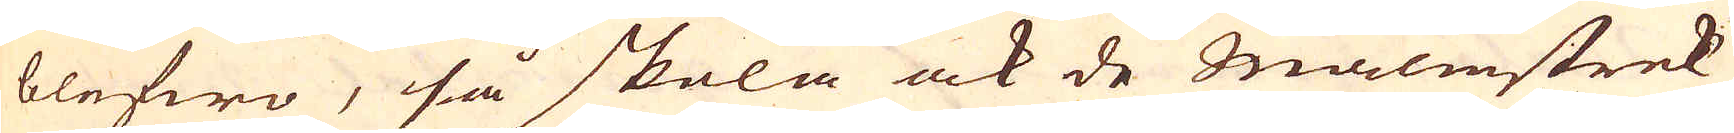blefwo, så skola ock de Malmstrek
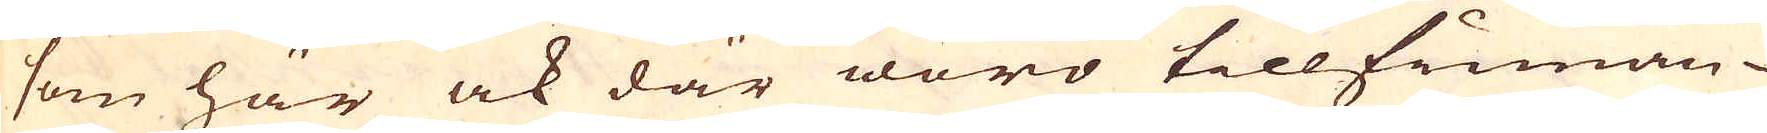som här ock där woro tillfinnan-
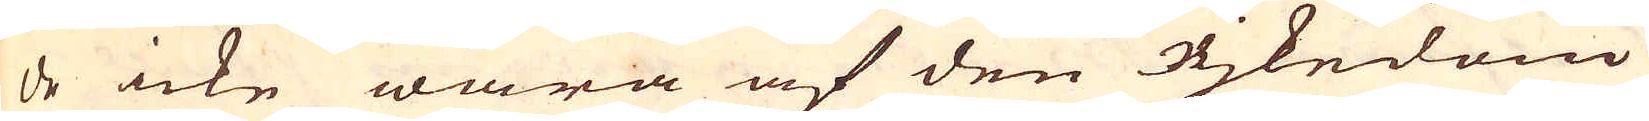de icke wara af den Rjkedom
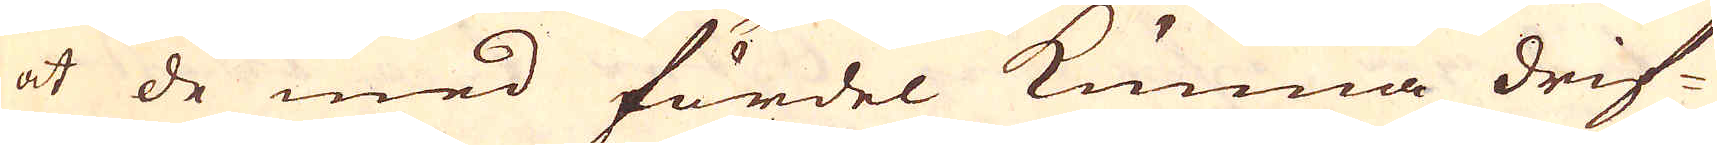at de med fördel kunna drif-
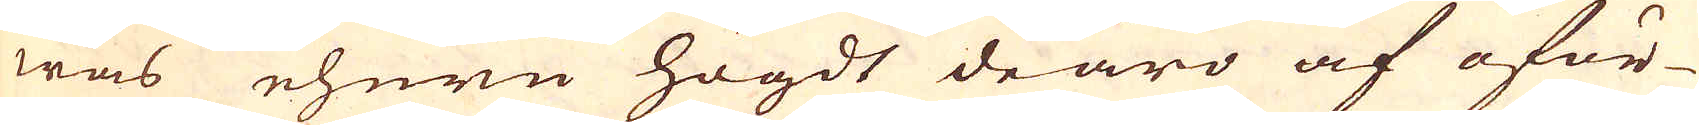was ehuru högdt de äro af oför-
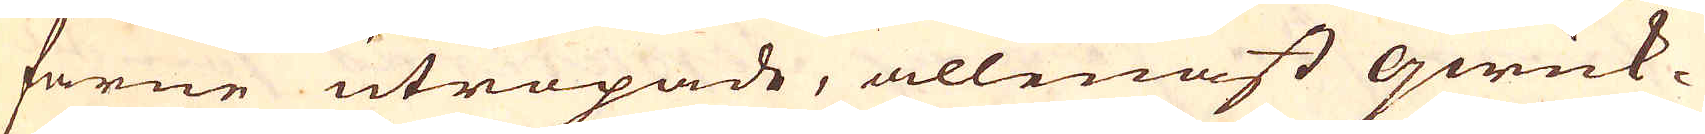farne utropade, allenast qwick-
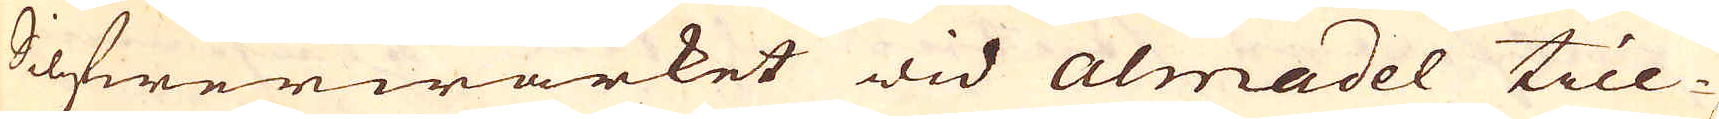Silfwerwärket wid Almadel till-
